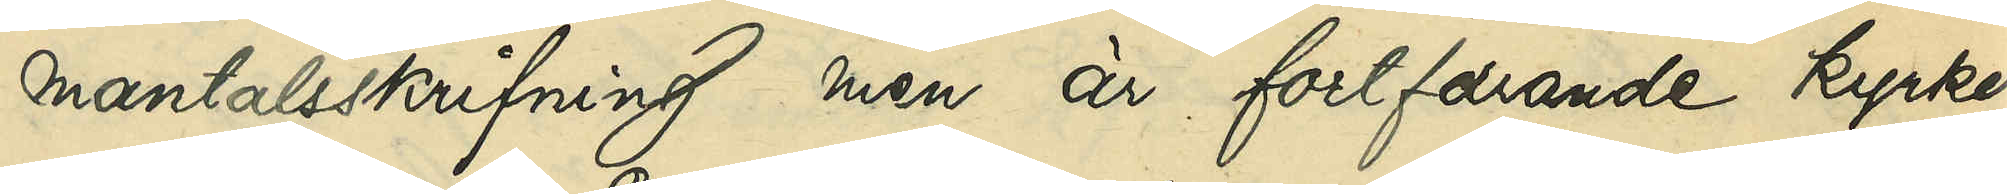mantalsskrifning men är fortfarande kyrko¬
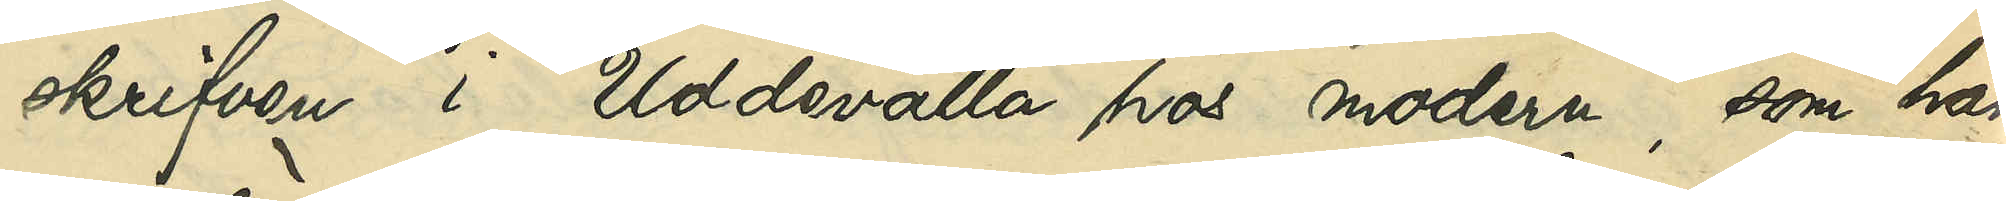skrifven i Uddevalla hos modern, som har
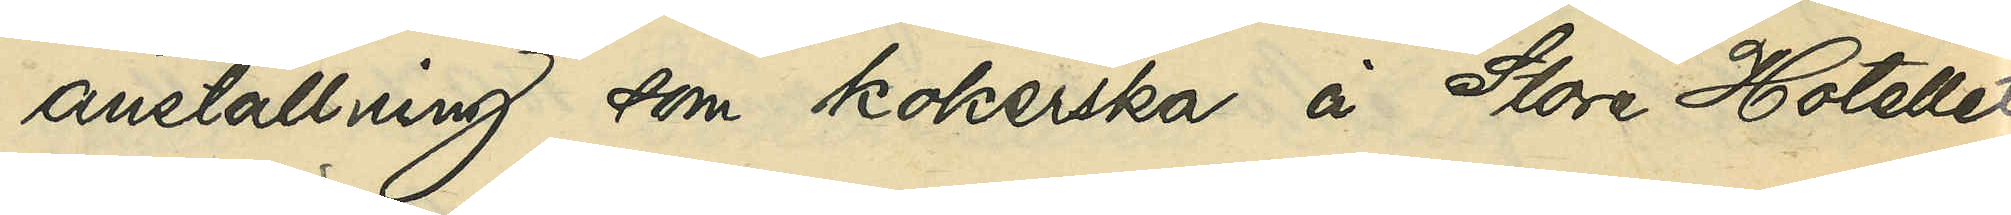anställning som kokerska å Store Hotellet
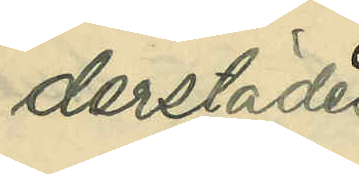derstädes.
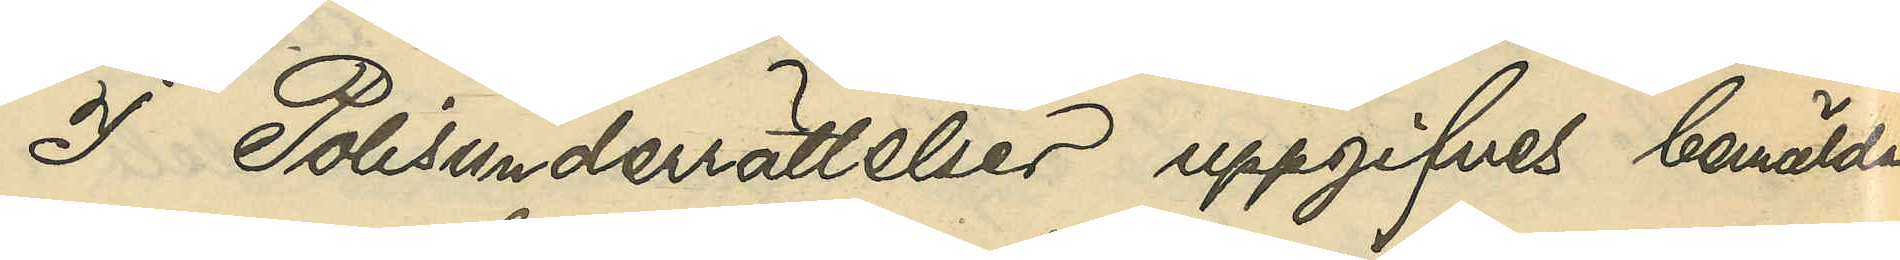I Polisunderrättelser uppgifves bemälda
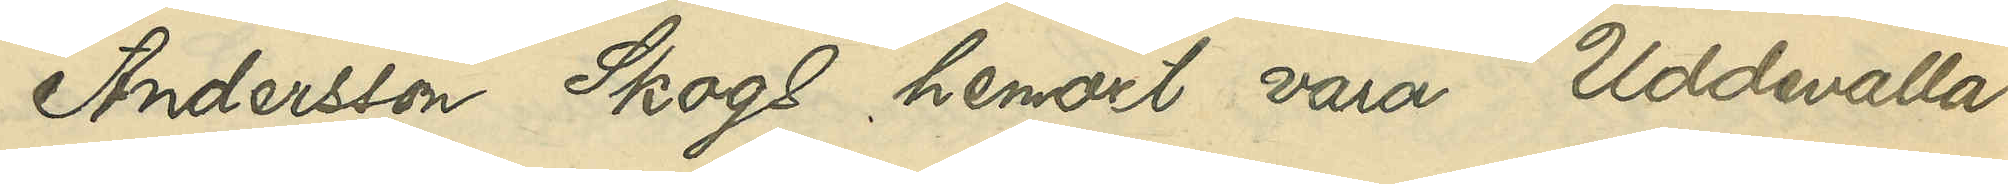Andersson Skogs hemort vara Uddevalla.
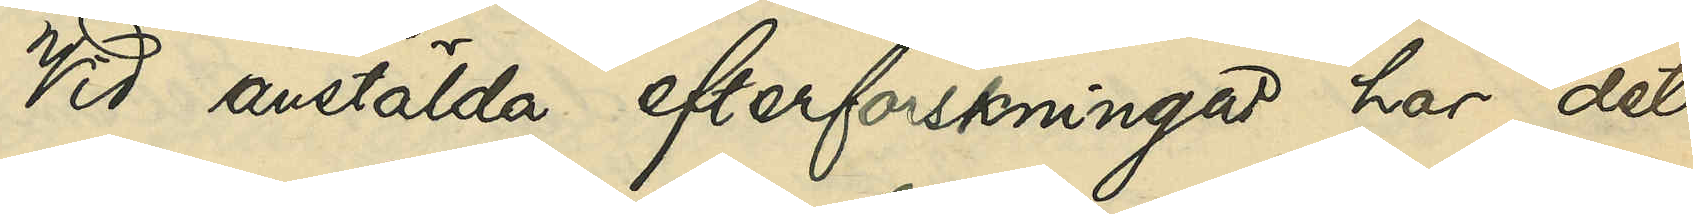Vid anstälda efterforskningar har det
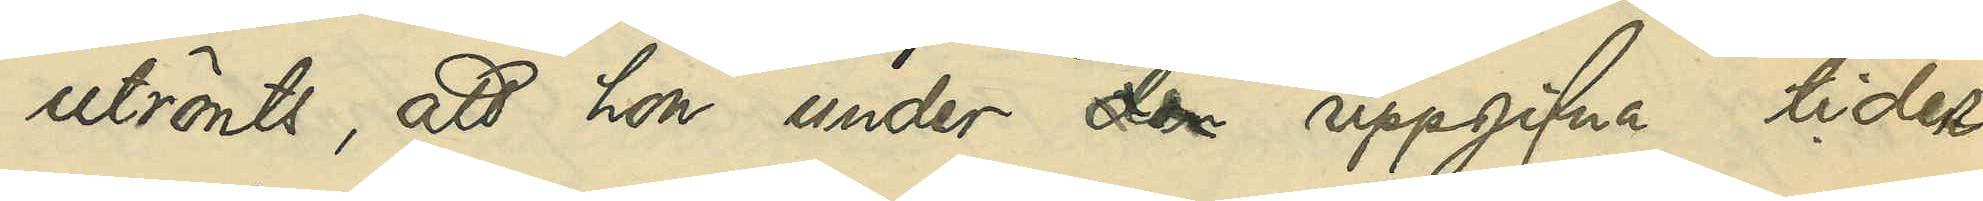utrönts, att hon under den uppgifna tider
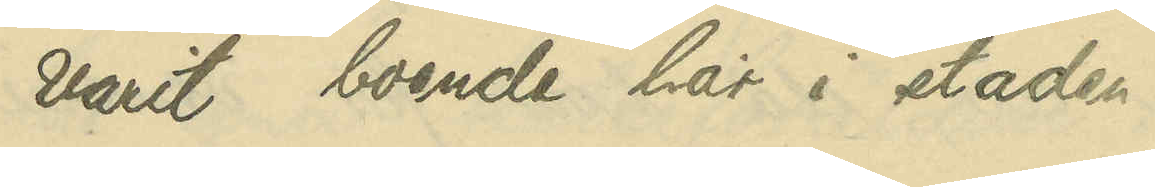varit boende här i staden.
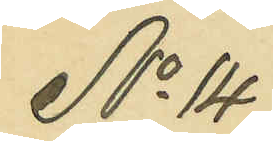No 14
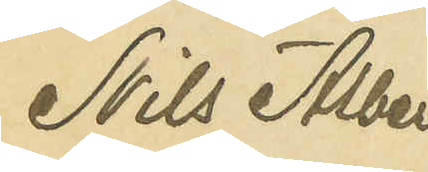Nils Albert
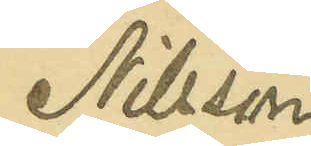Nilsson
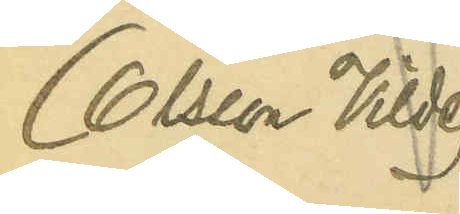(Olsson Vilde)
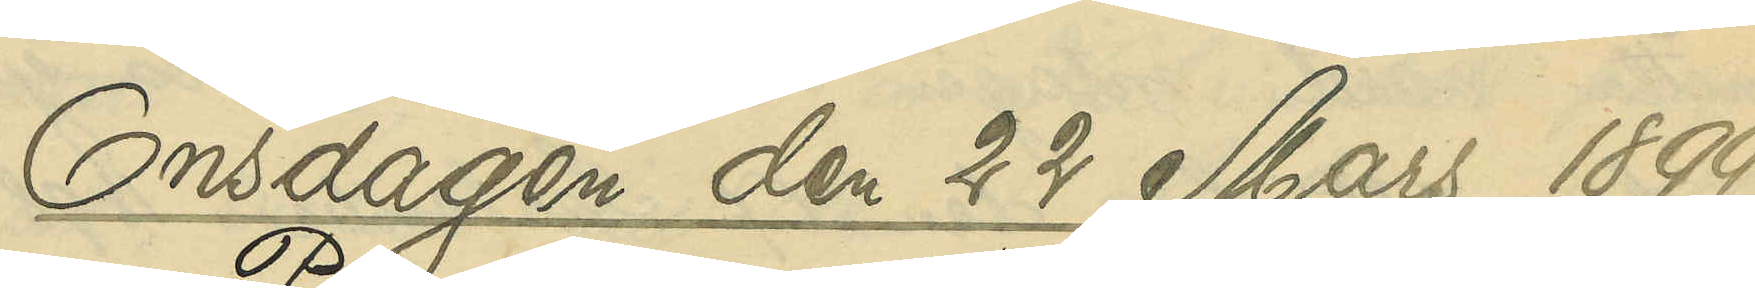Onsdagen den 22 Mars 1899.
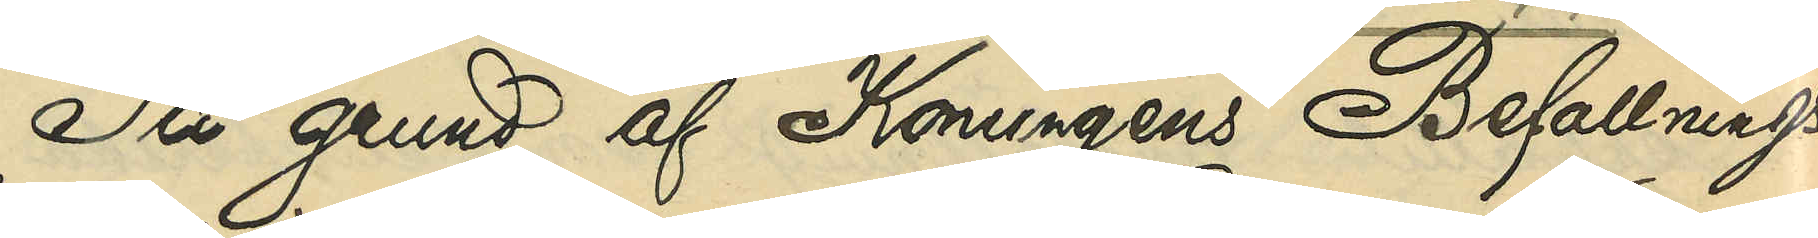På grund af Konungens Befallnings¬
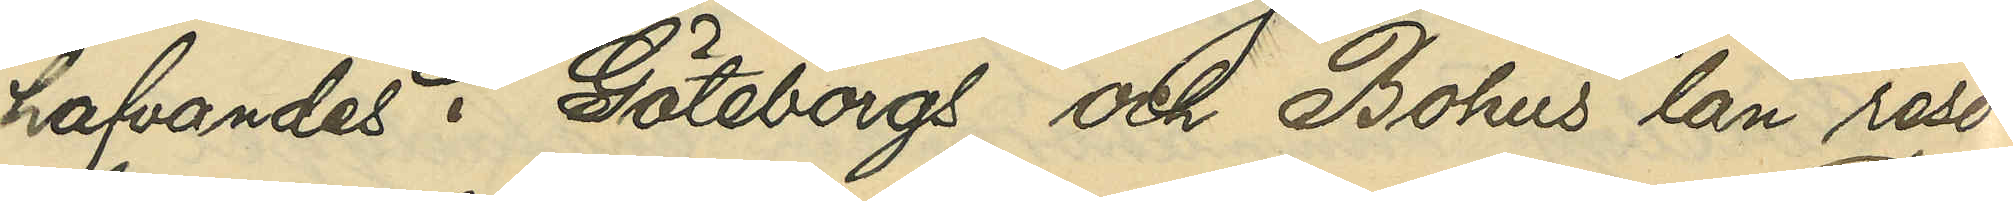hafvandes i Göteborgs och Bohus län reso¬
